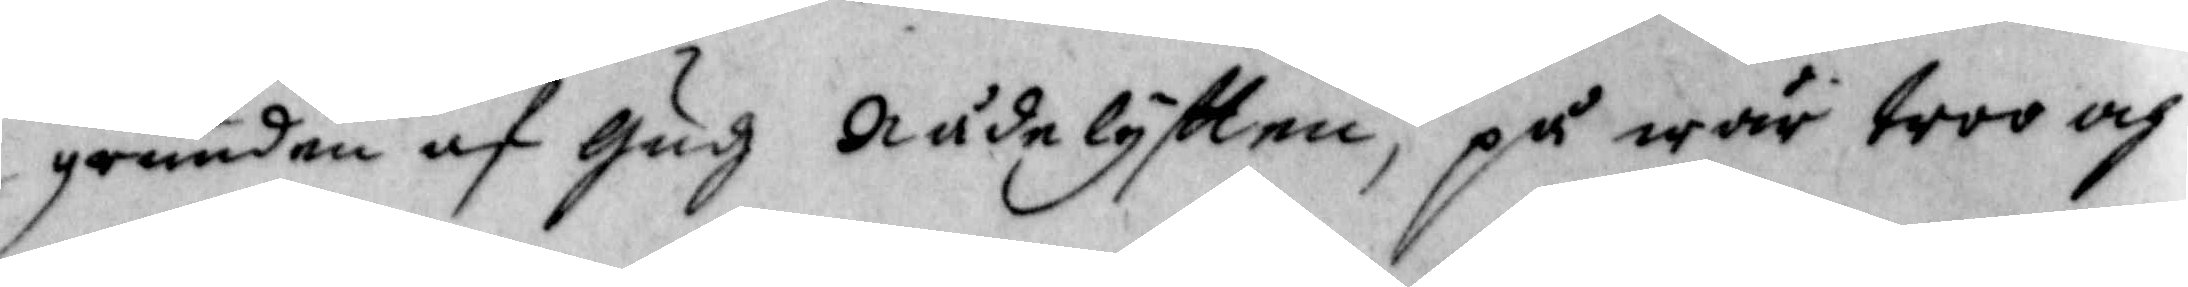grunden af Gudz Nådelyftten, på wår troo och
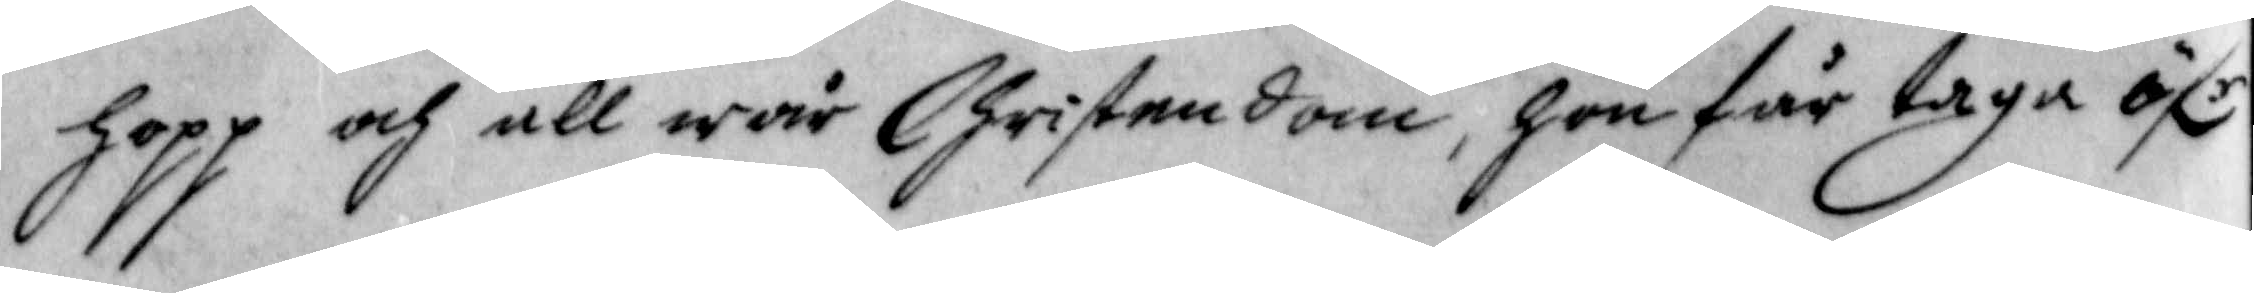hopp och all wår Christendom, hon får taga öfr
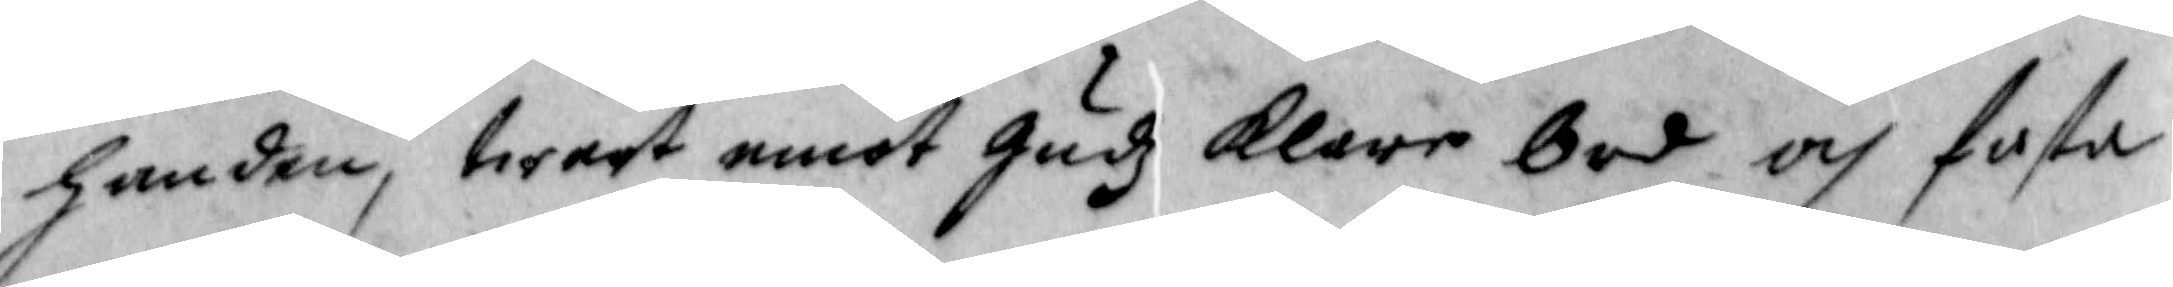handen, twert emot Gudx klare bud och fasta
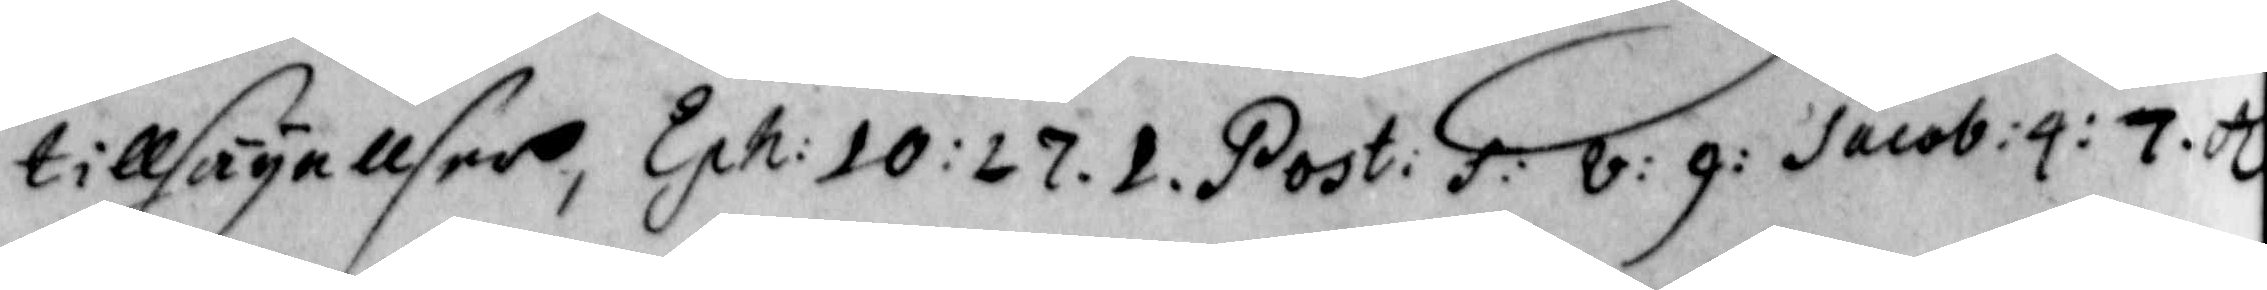tillsägellser, Eph: 10: 27. 1. Post: f: v: 9: Jacob: 4: 7: etc
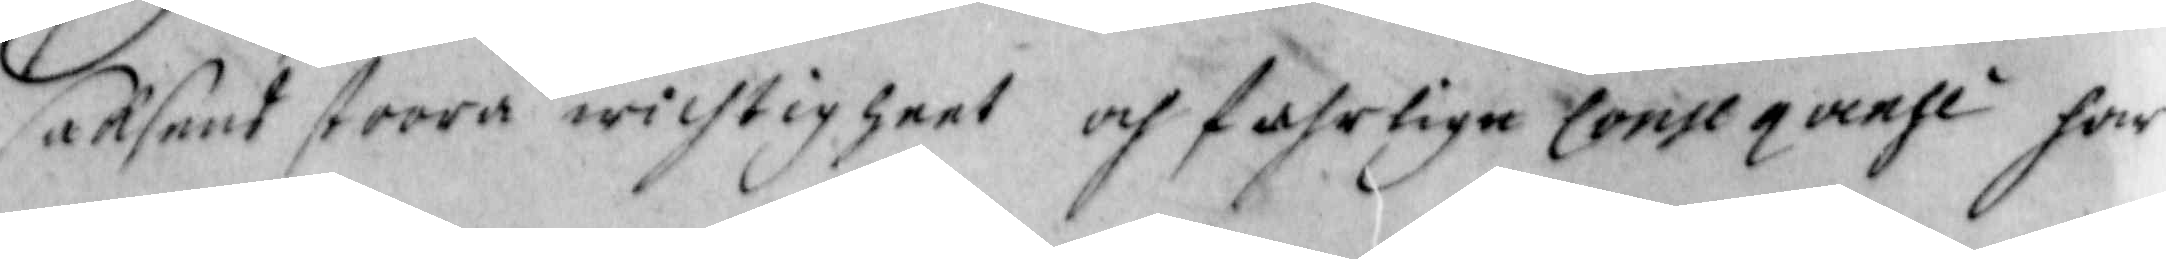saksens stoora wichtigheet och fahrlige conseqvensi har
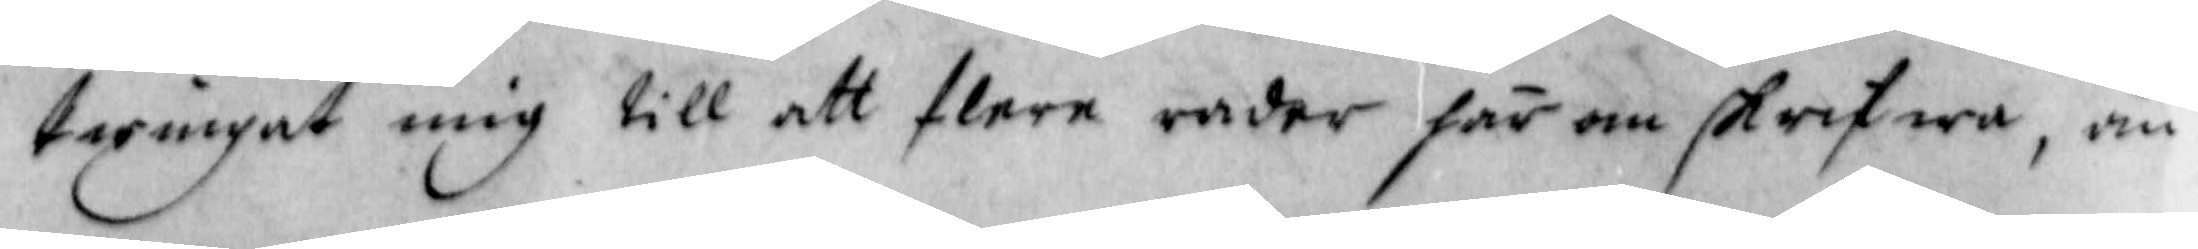twingat mig till att flera rader här om skrifwa, än
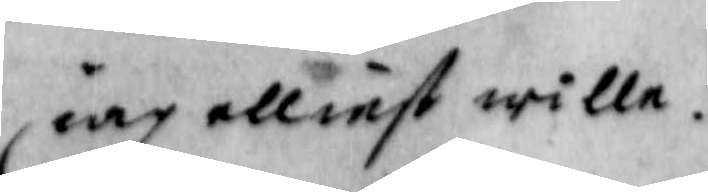iag elliest wille.
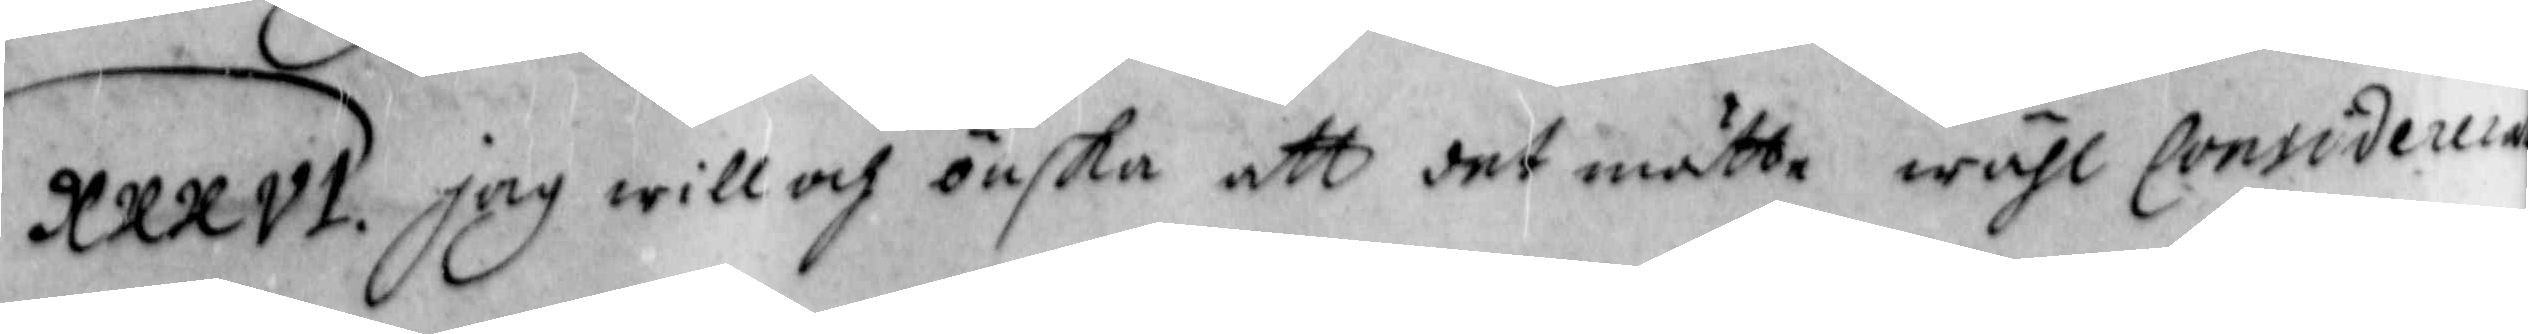XXXVI. Jag will och önska att det måtte wähl consideum
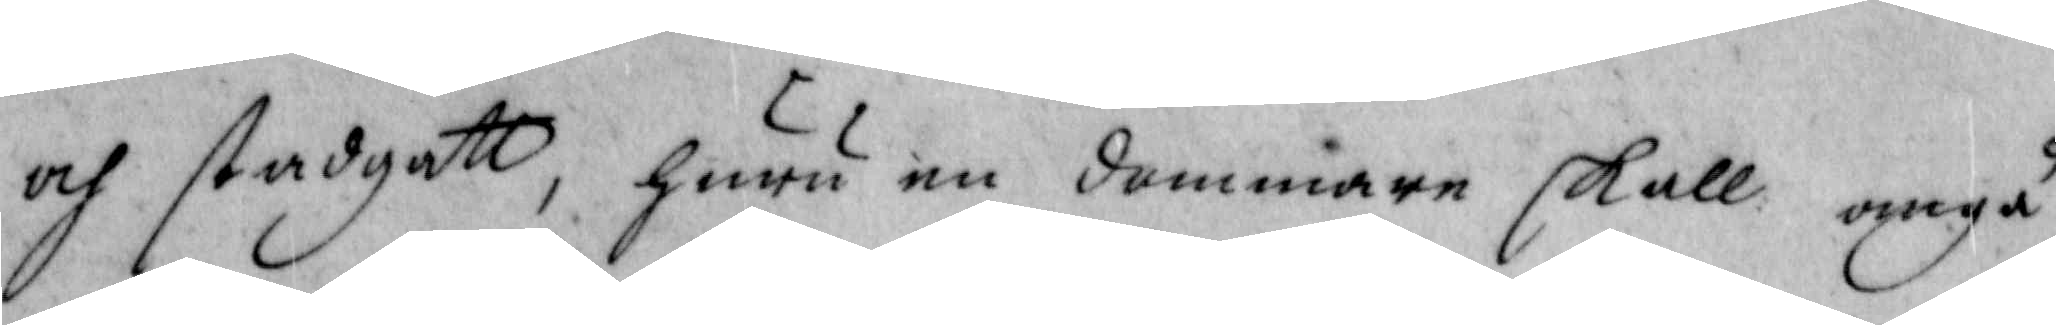och stadgatt, huru en dommare skall angå
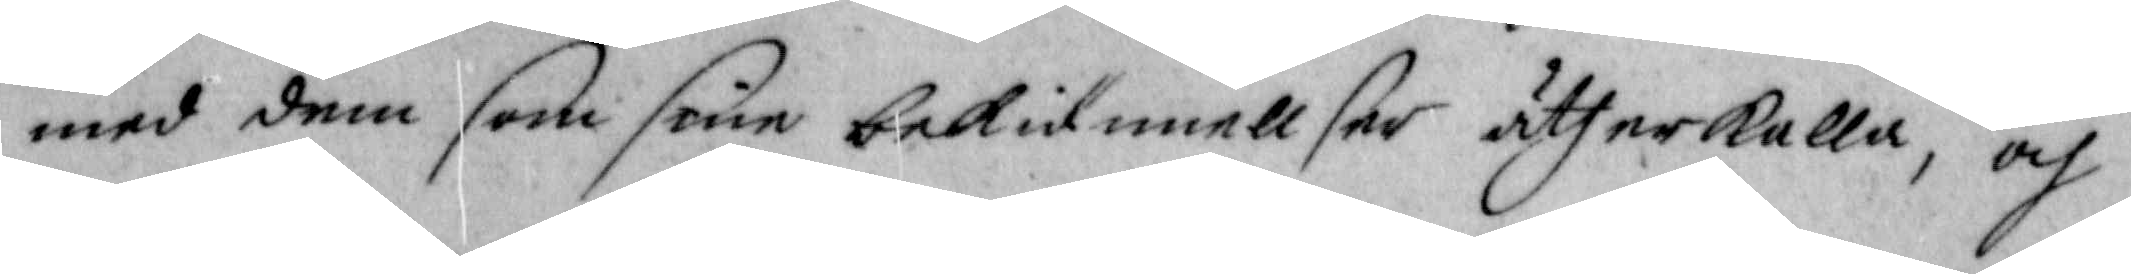med dem som sine bekiennellser åtherkalla, och
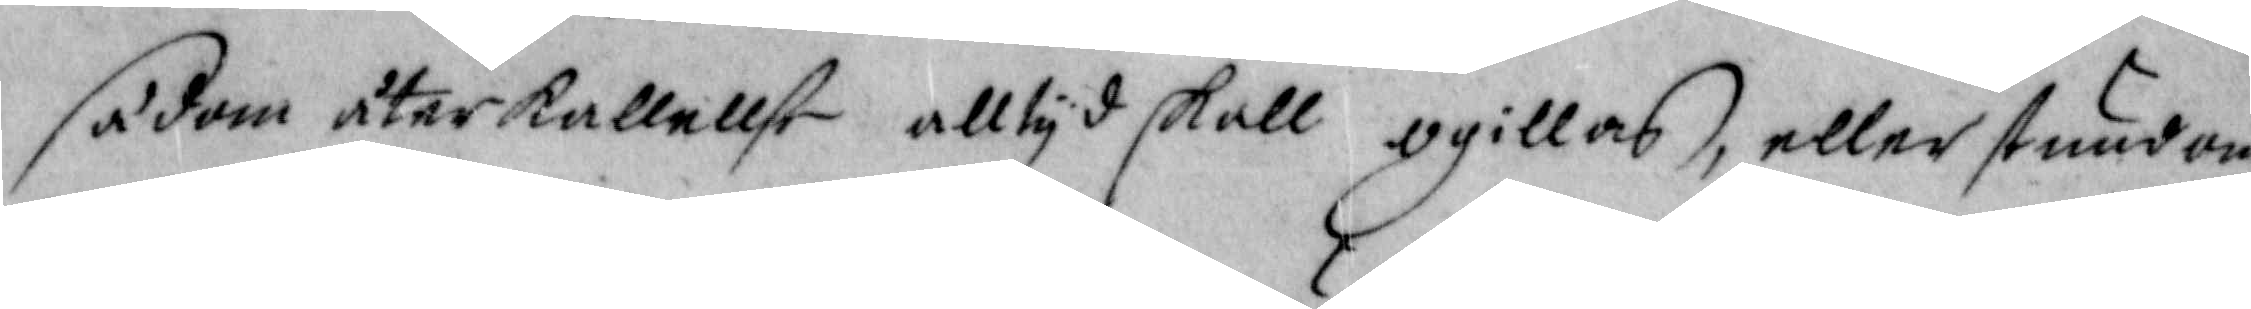sådan återkallellse alltyd skall ogillas, eller stundom
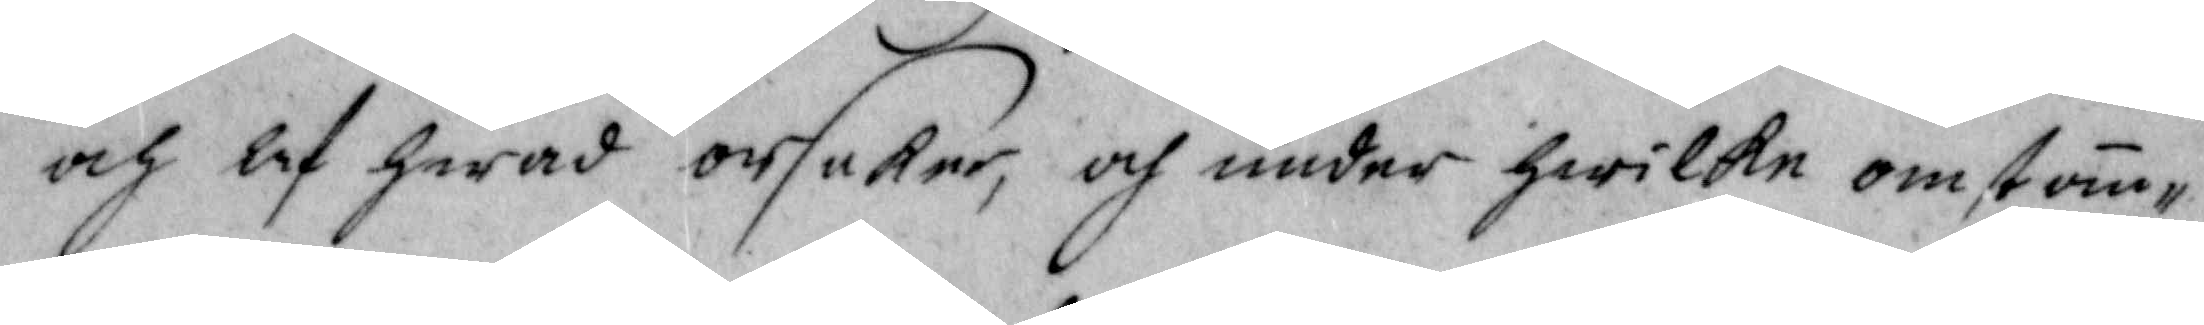och af hwad orsaker, och under hwilke omstän¬
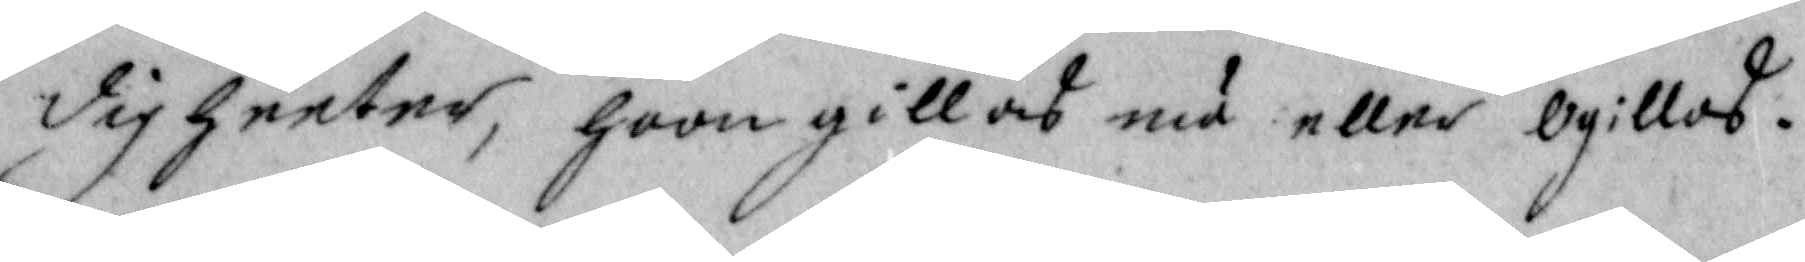digheeter, hoon gillas nu eller ogillas.
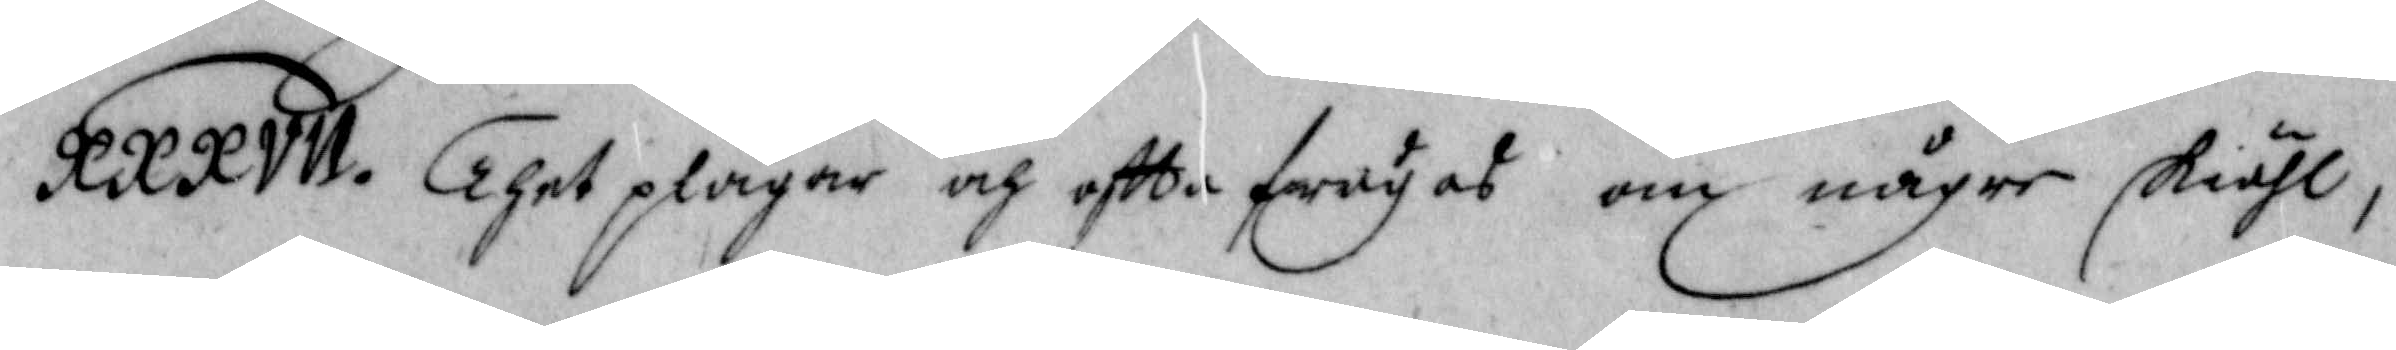XXXVII. Thet plägar och oftta frågas om någre skiähl
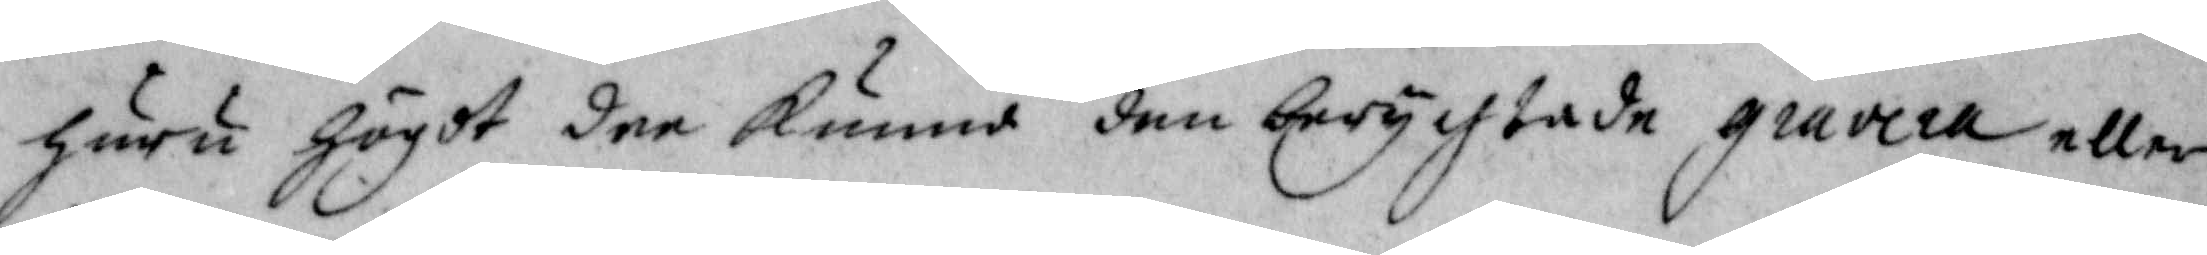huru högdt dee kune den berychtade gravera eller
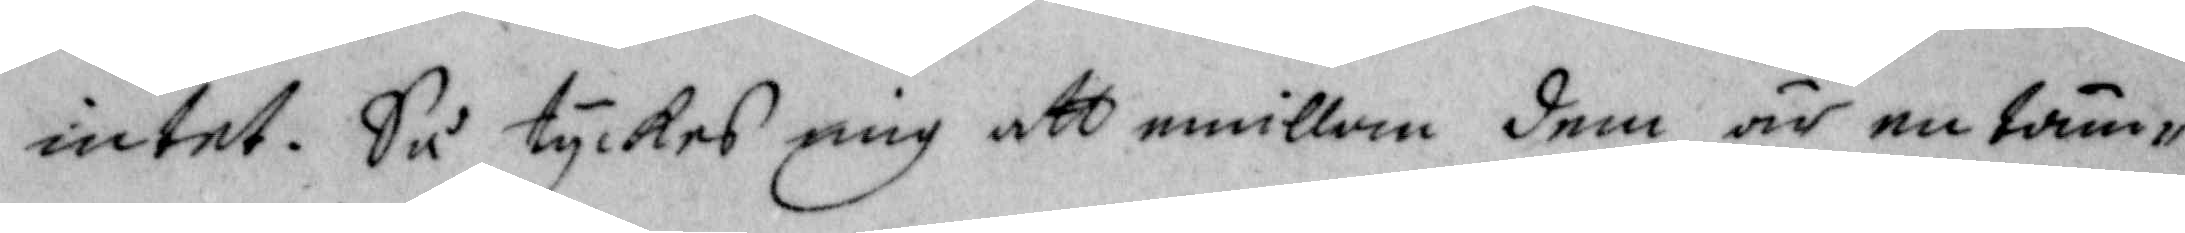intet. Så tyckes mig att emillan dem är nu täm¬
